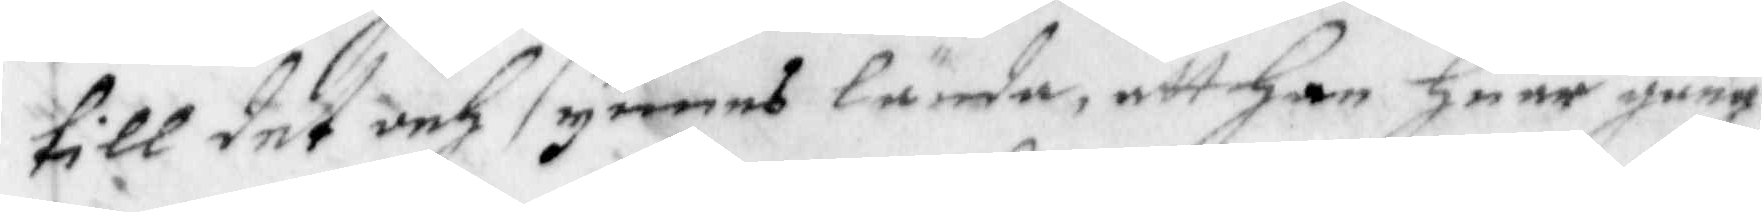till det och synes lända, att Han Huar gång
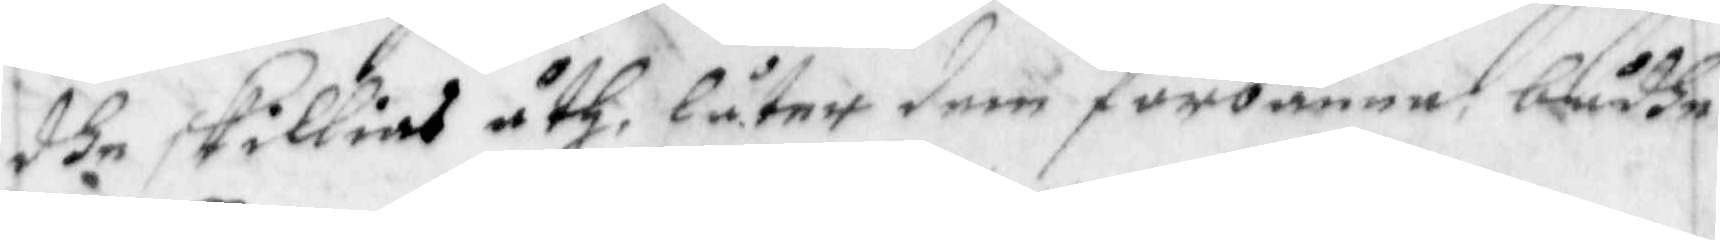de skillias åth, låter dem förbanna bådhe
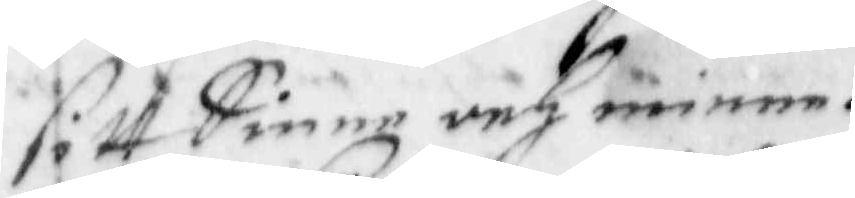sitt Sinne och minne.
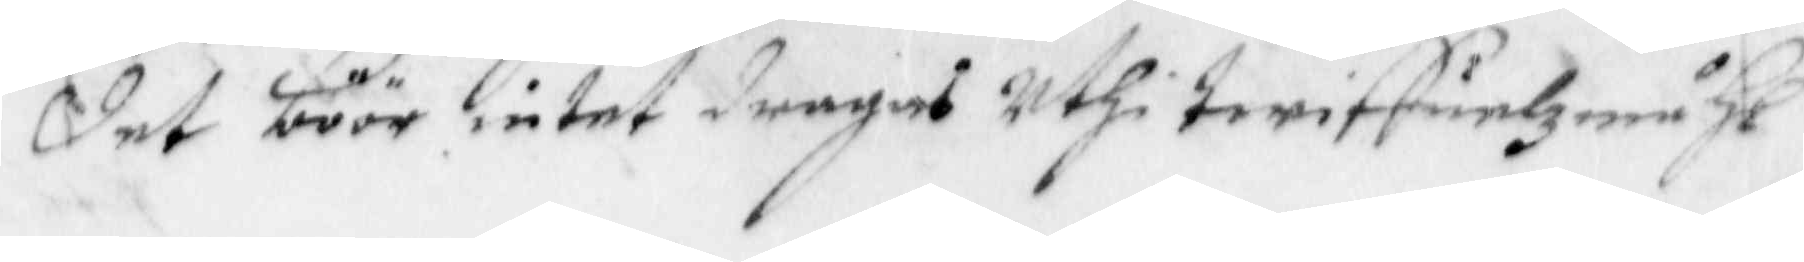Det böör intet dragas uthi Twiffuelzmåhl
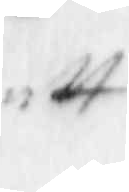att
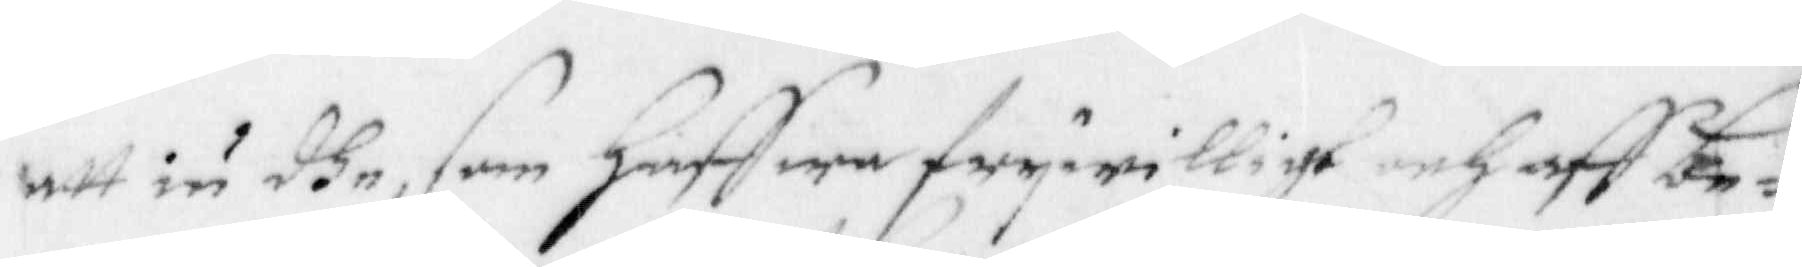att iu dhe, som Haffwa frywilligt och aff be¬
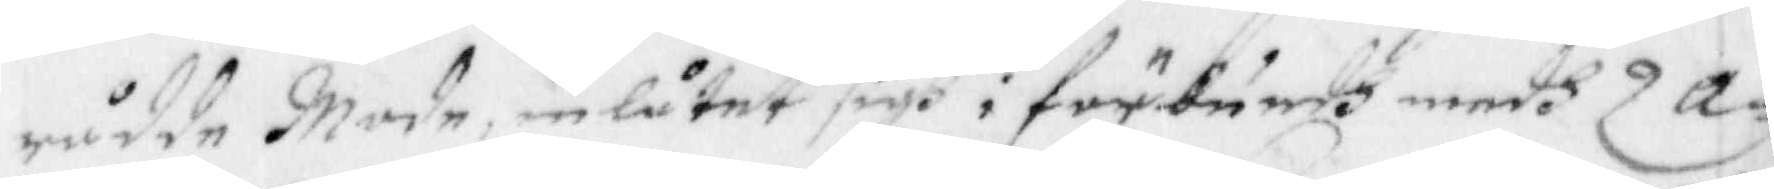rådde Mode, inlåtet sigh i förbundh medh Za¬
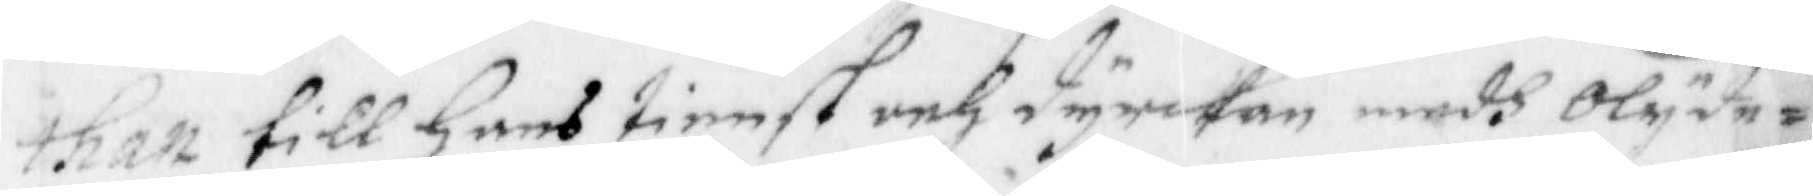than till hans tienst och dyrckan medh Olyde¬
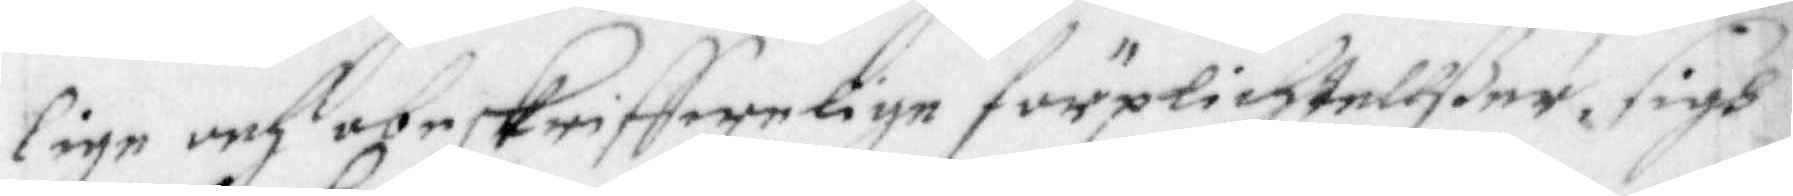lige och obeskriffwelige förplichtelßer, sigh
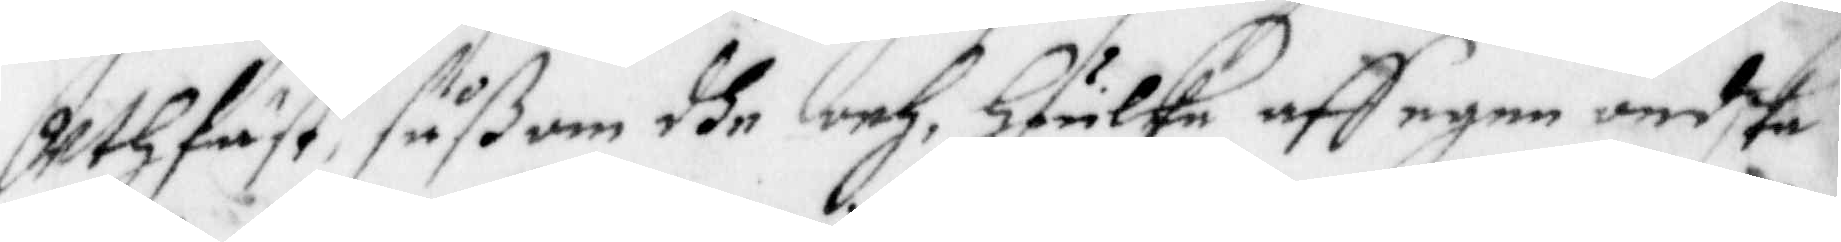uthfäst, såsom dhe och Huilke aff egen ondska
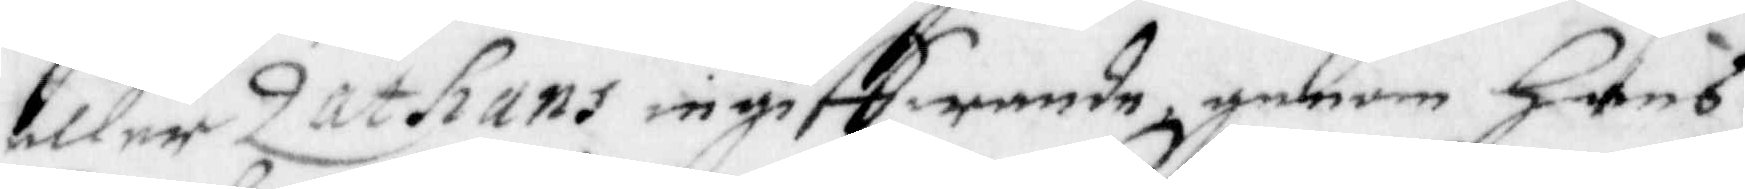eller Zathans ingiffwande, genom hans
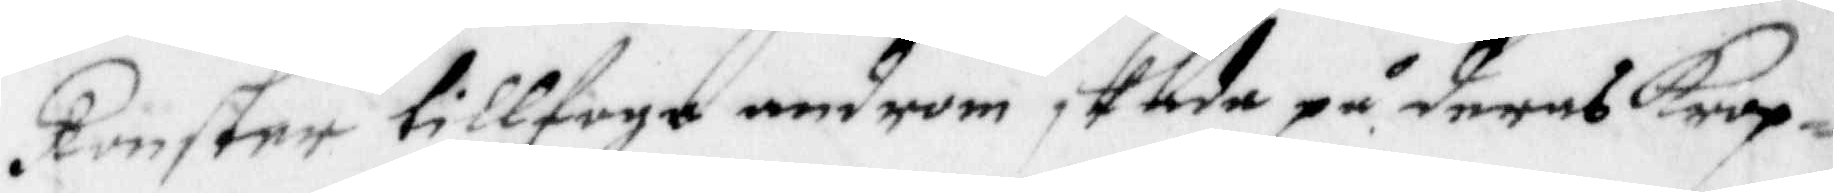konster tillfoga androm skada på deras Krop¬
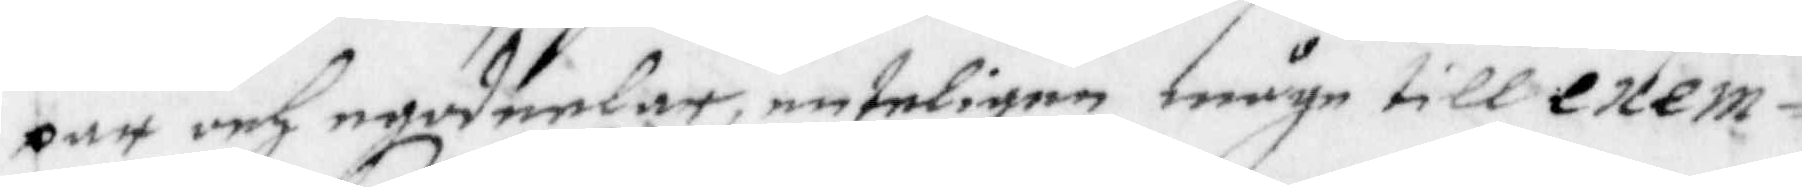par och egodeelar, enteligen måge till exem¬
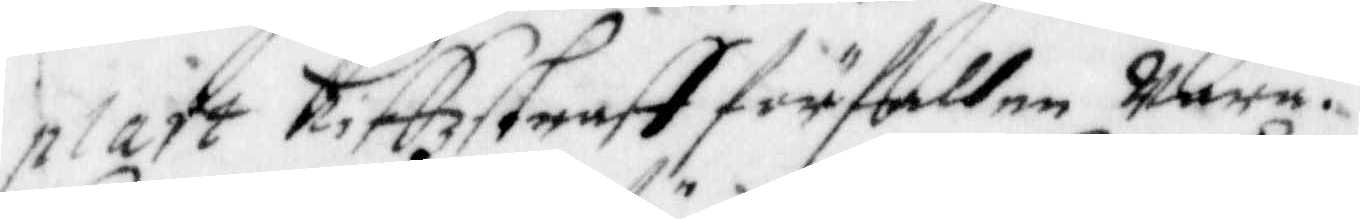plart Liffzstraff förfallne Wara.
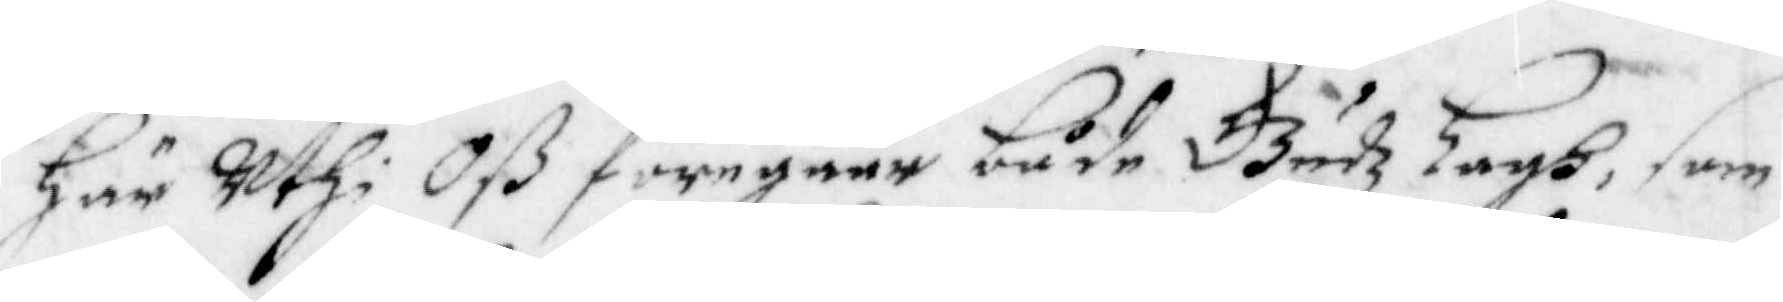Här uthi Oß föregåår både Gudz Lagh, som
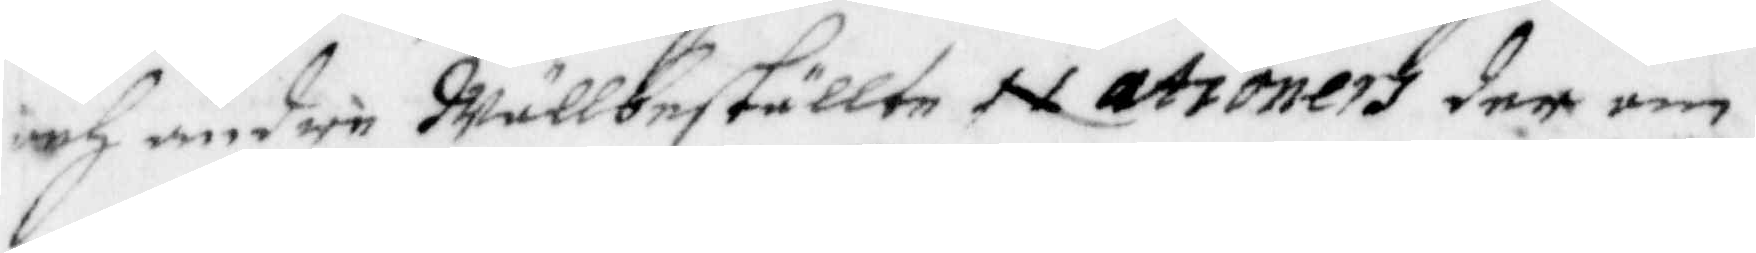och under Wällbeställte Nationers der om
